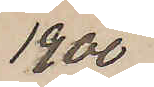1900
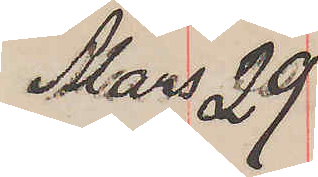Mars 29
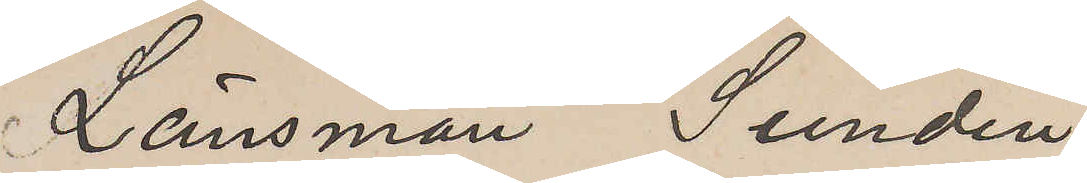Länsman Sundin
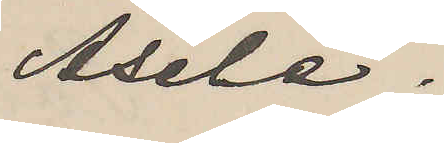Åsele.
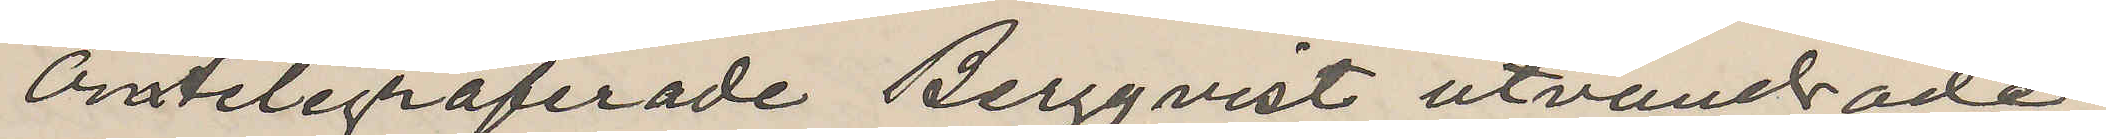Omtelegraferade Bergqvist utvandrade
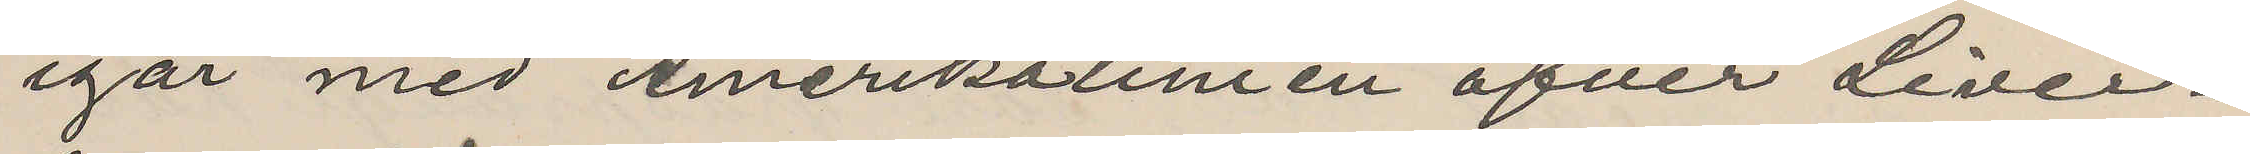igår med Amerikalinien öfver Liver¬
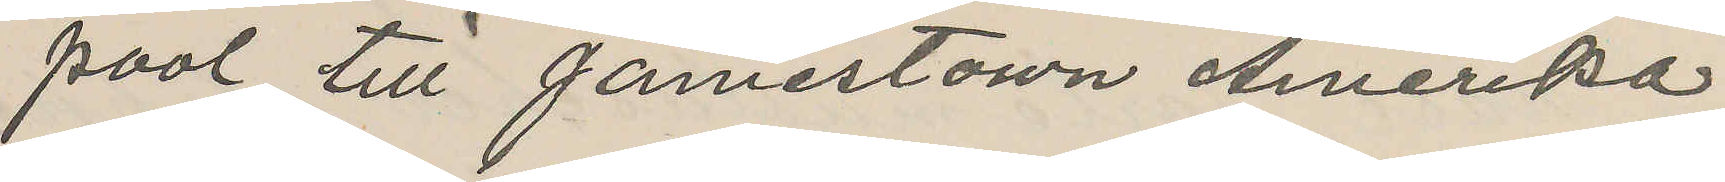pool till Jamestown Amerika.
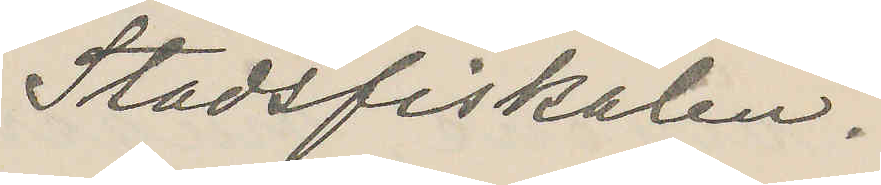Stadsfiskalen.
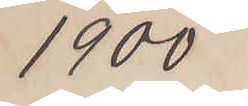1900
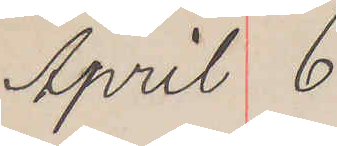April 6
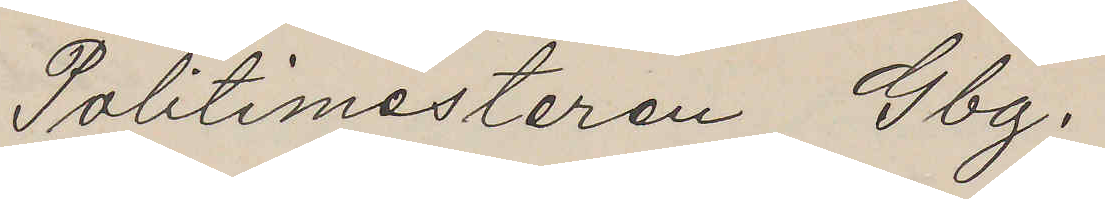Politimesteren Gbg.
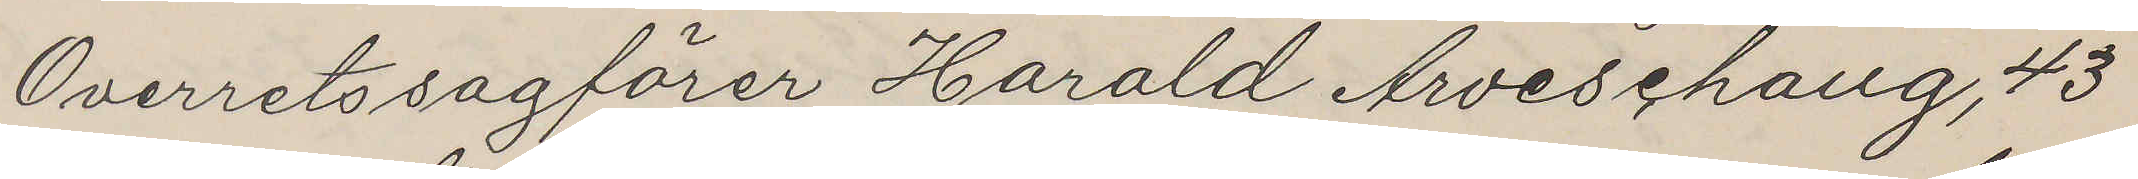Overretssagförer Harald Arveschaug, 43
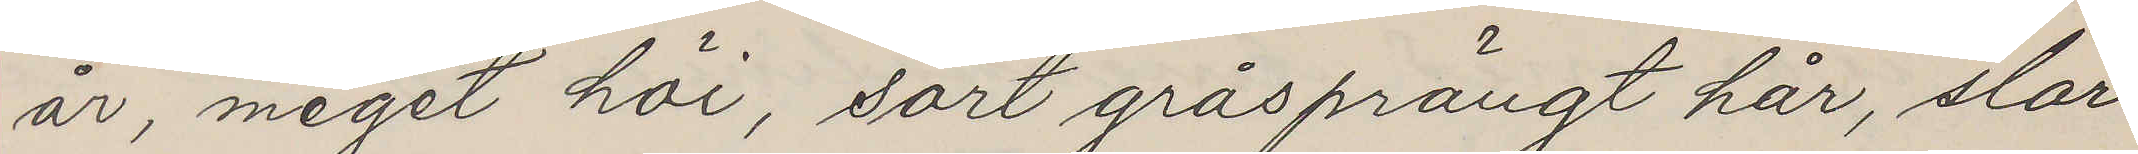år, meget höi, sort gråsprängt hår, slor
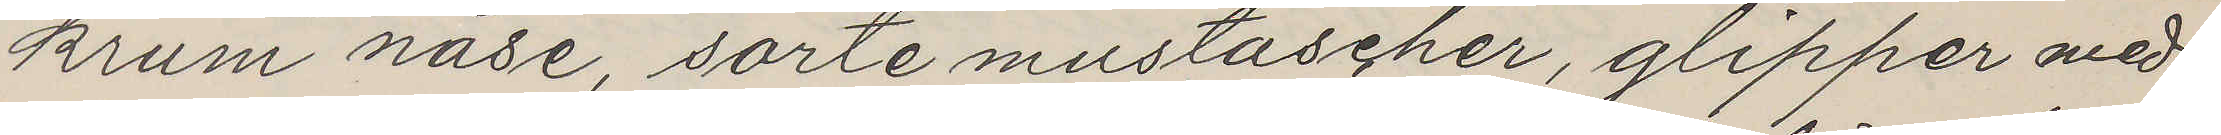krum näse, sorte mustascher, glipper med
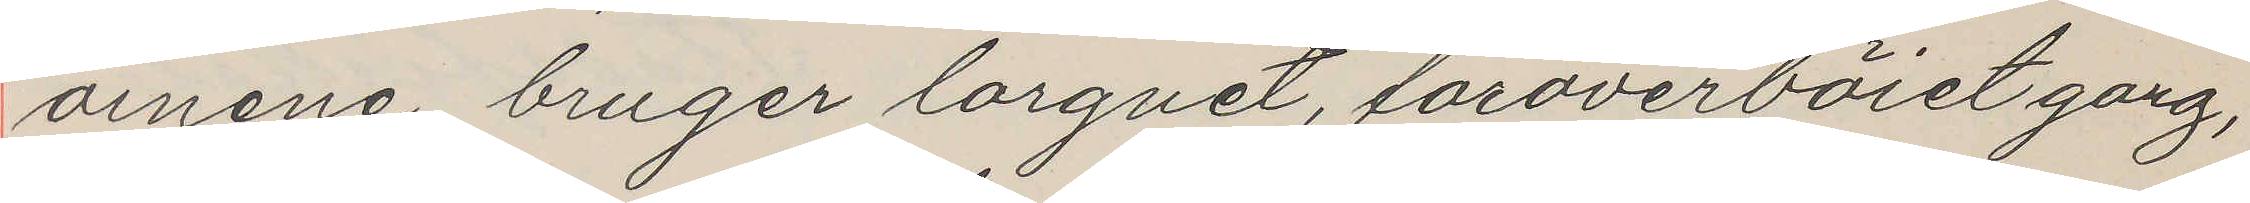öinene, bruger lorgnet, foroverböiet gang,
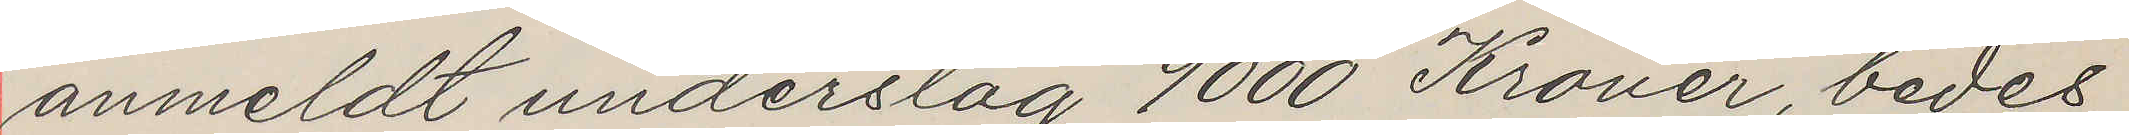anmeldt underslag 9000 Kroner, bedes
